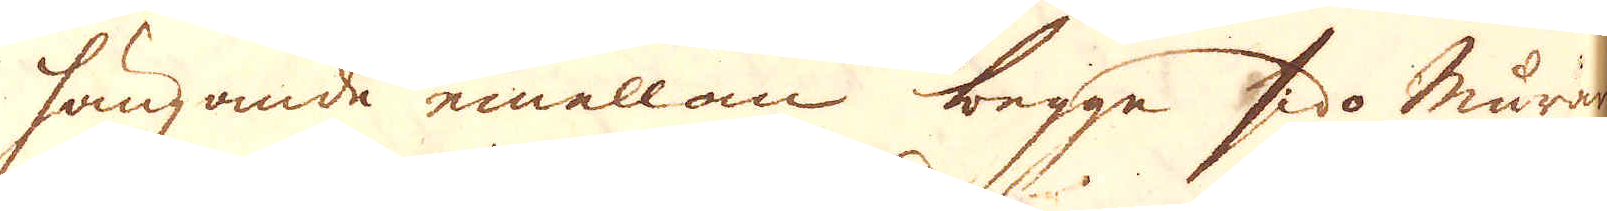hängande emallom begge sido murarne
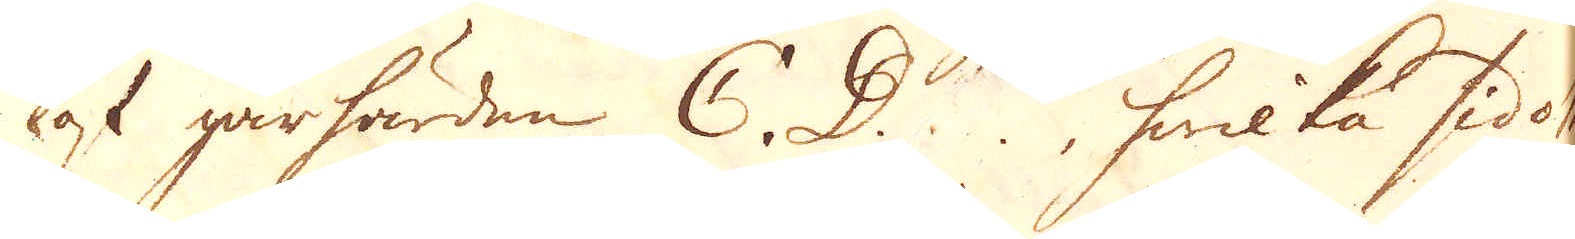af gårhärden C. D., hwilka sidomu-
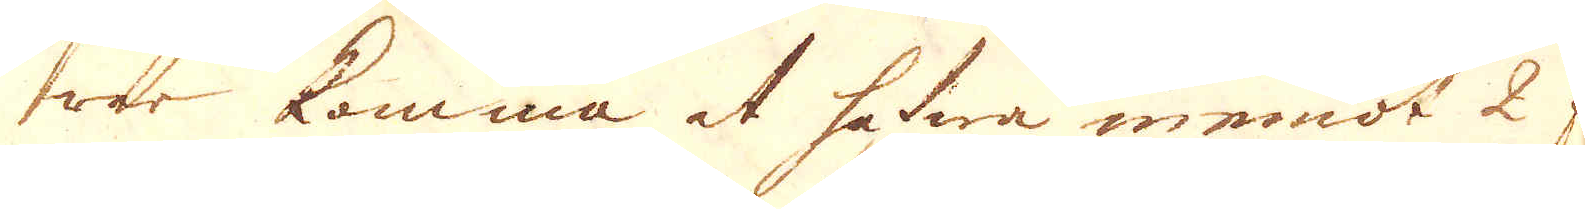rar komma at hafwa innemot 2 fot
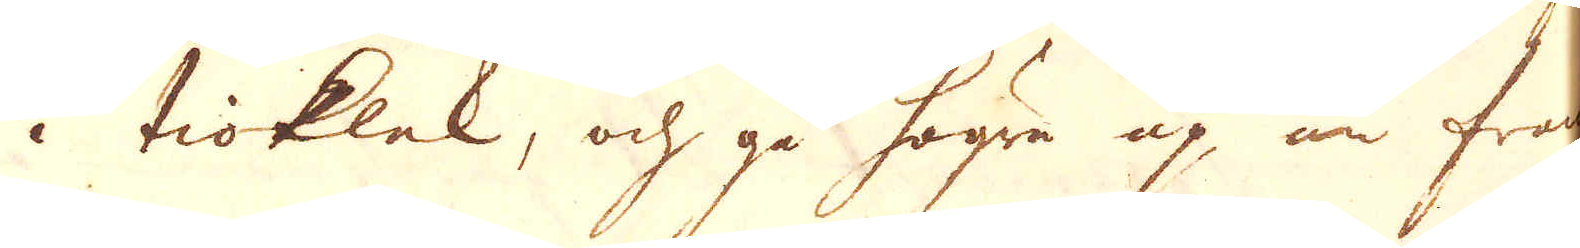i tioklek, och gå högre up än fram-
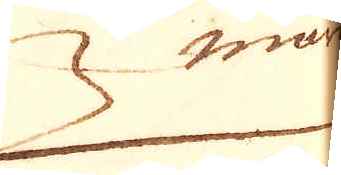muren
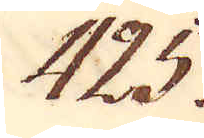425.
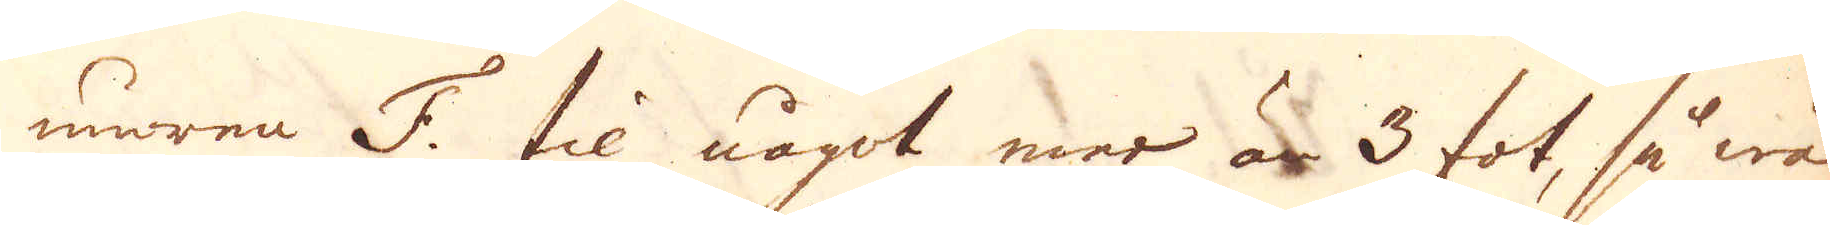muren F. til något mer är 3 fot, så wäl
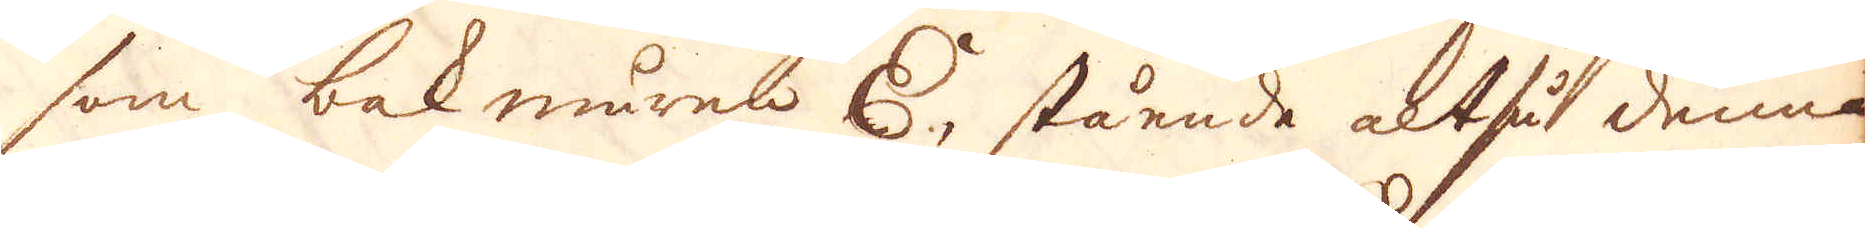som bakmuren E, stående altså denna
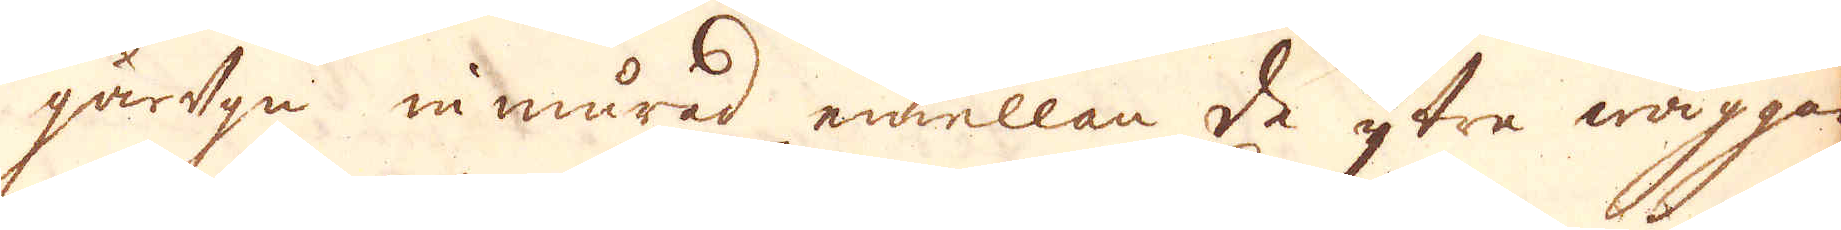gårugn inmurad emellan de ytre wäggar-
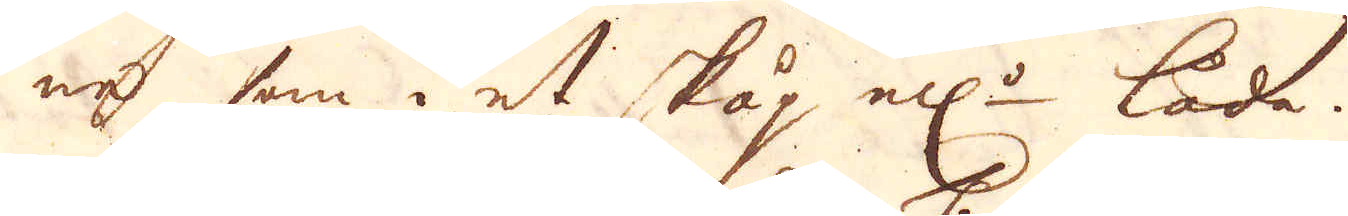ne som i et skåp el:r låda.
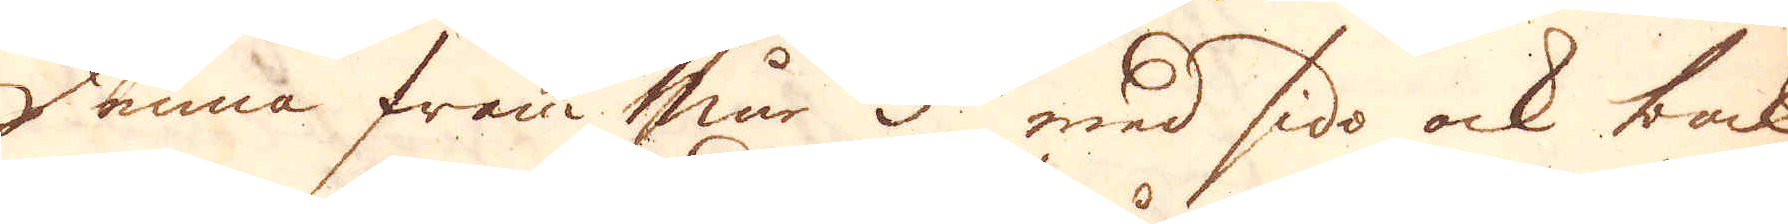Denna fram mur F. med sido ock bak
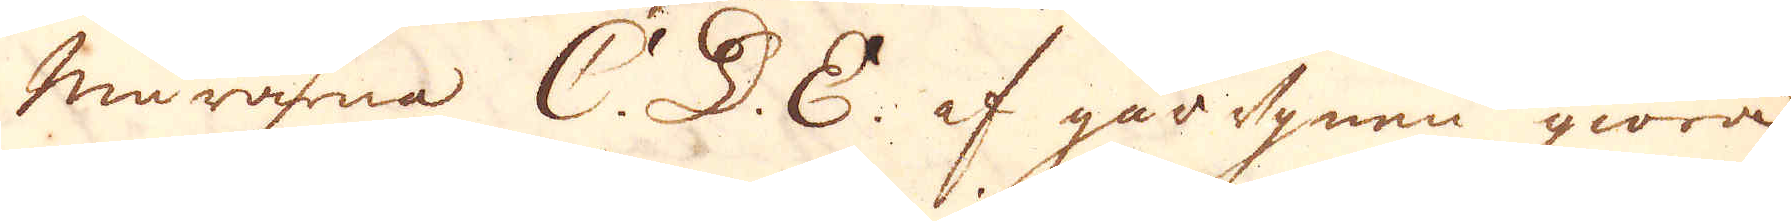murarna C. D. E. af gårugnen giöra
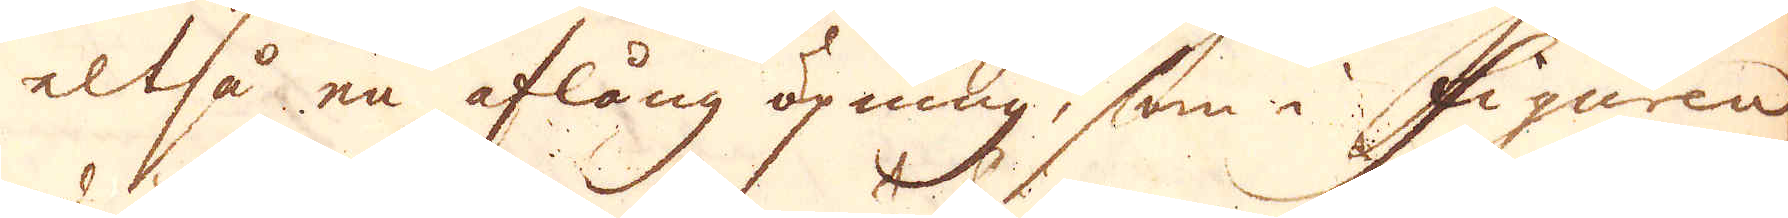altså en aflång öpning, som i figuren
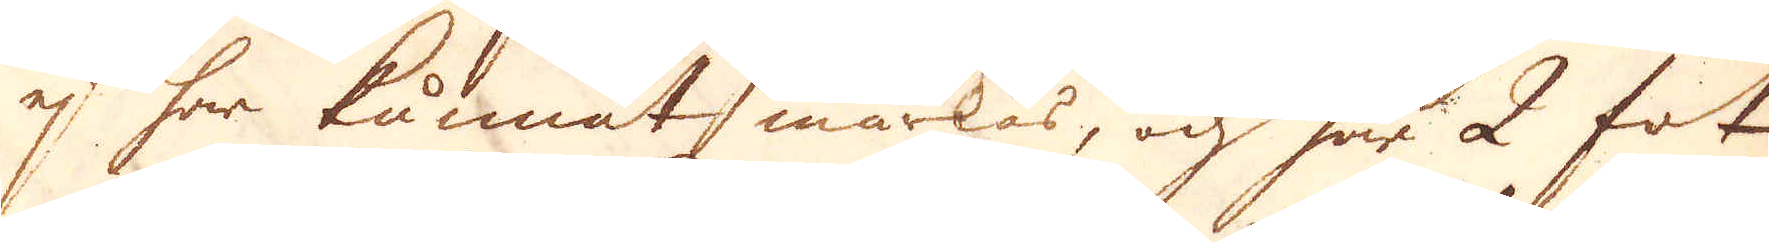ej har kunnat märkas, och har 2 fot
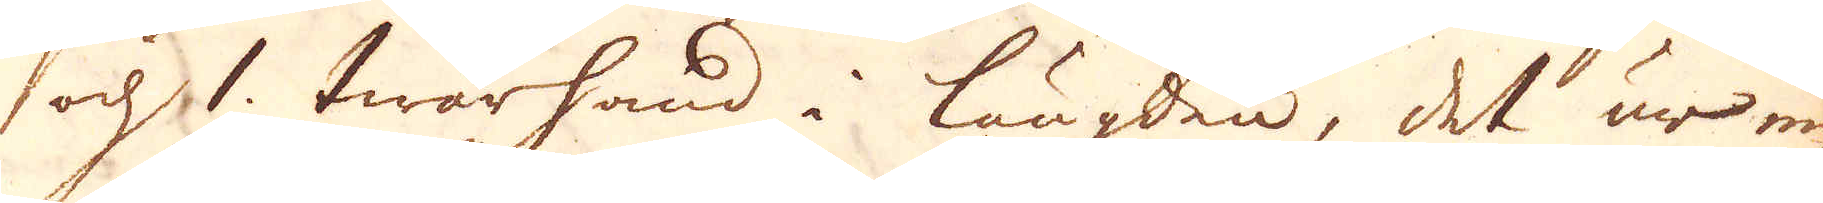och 1. twärhand i längden, det är in
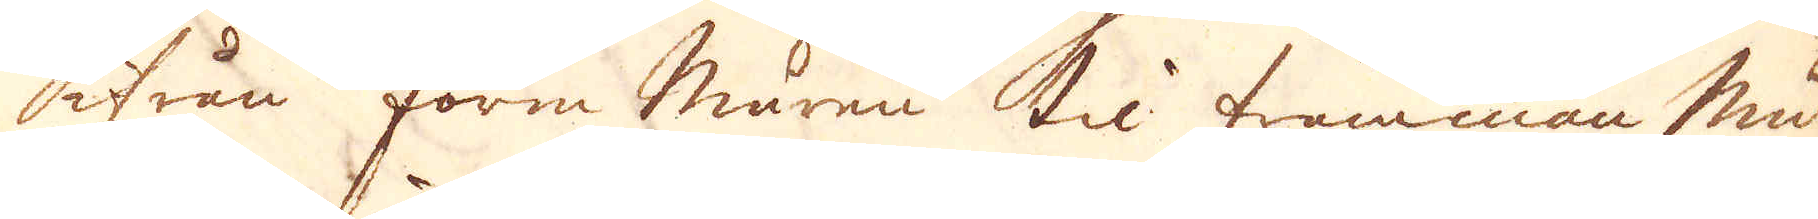ifrån form muren til framman mu-
